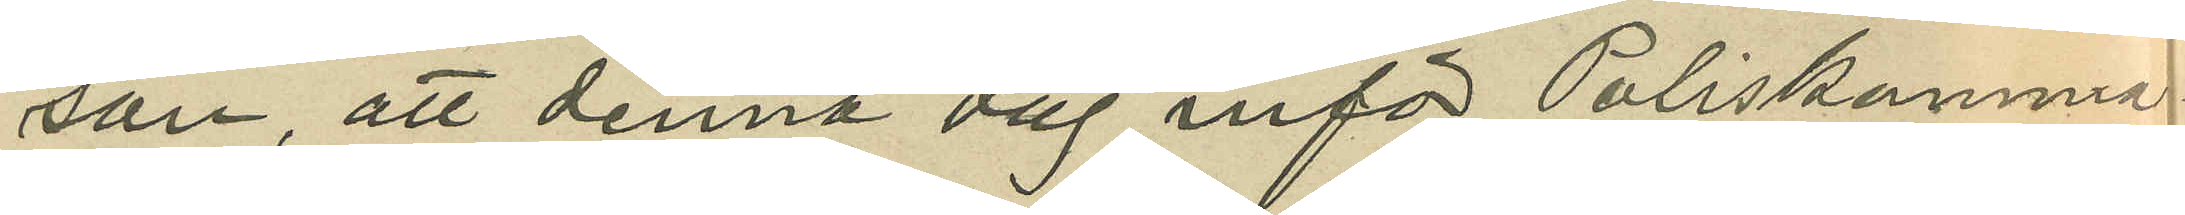son, att denna dag inför Poliskamma¬
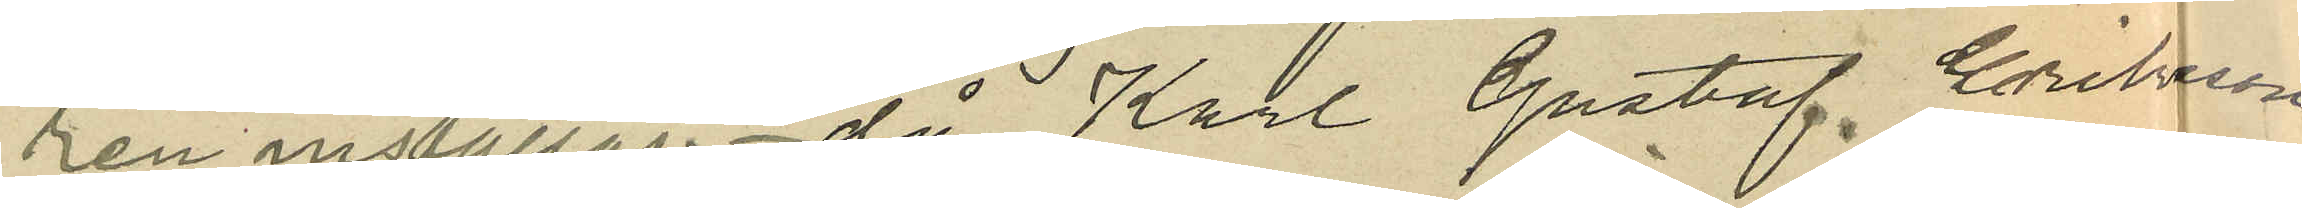ren inställas. då Karl Gustaf Eriksson
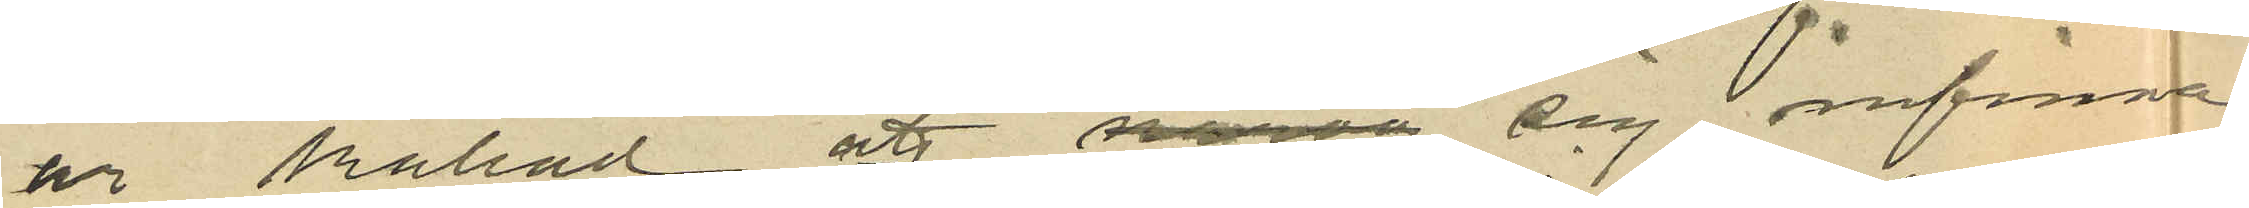är kallad att narva sig infinna
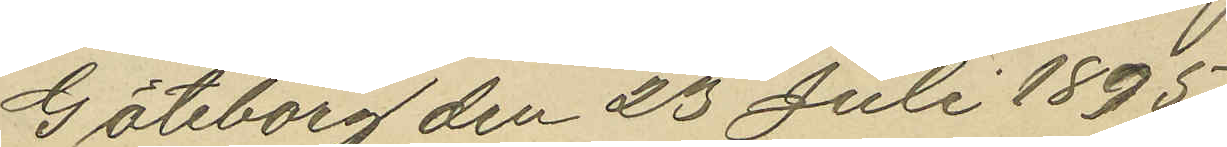Göteborg den 23 Juli 1895.
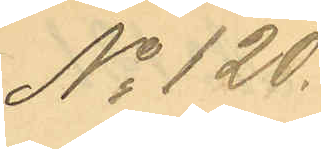No 120.
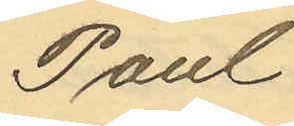Paul
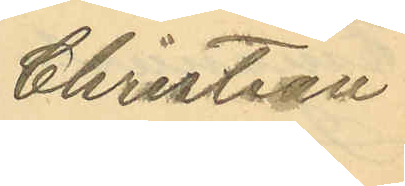Christien
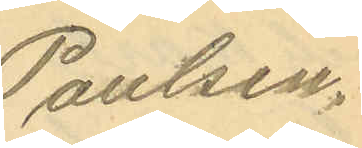Paulsen.
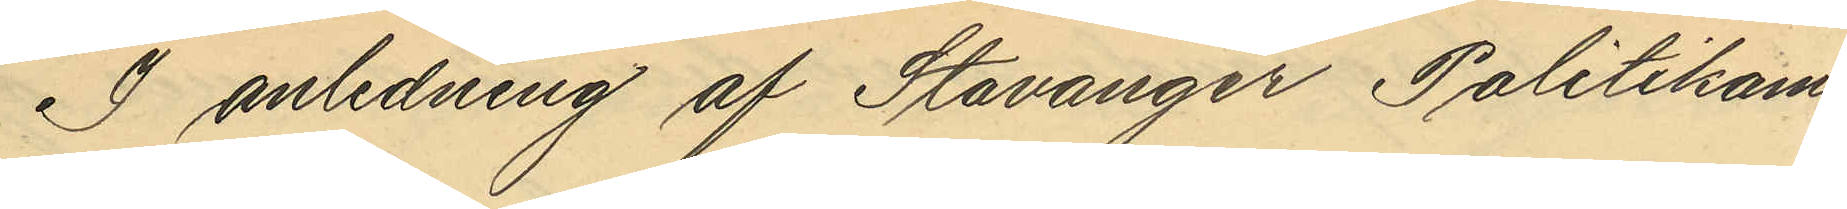I anledning af Stavanger Politikam¬
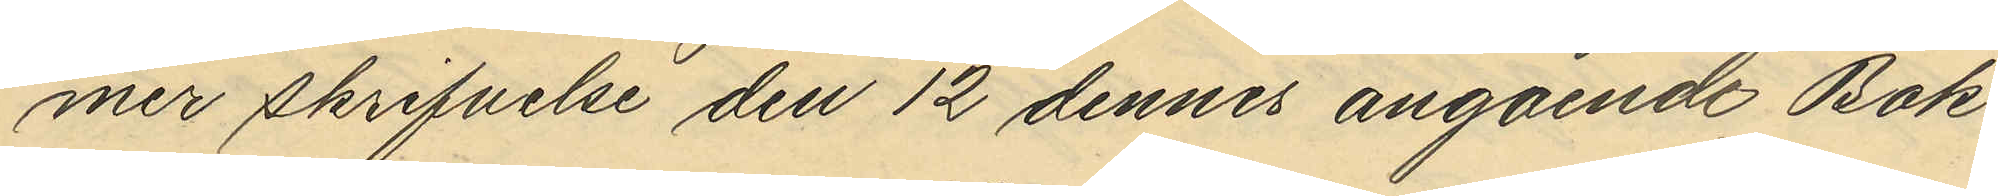mer skrifvelse den 12 dennes angående Bok¬
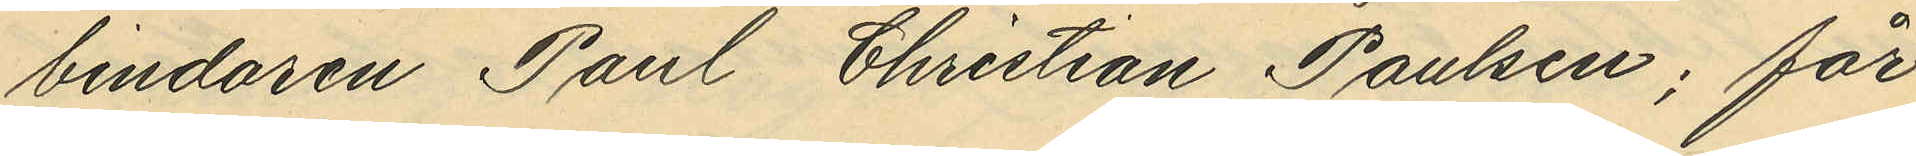bindaren Paul Christian Paulsen; får
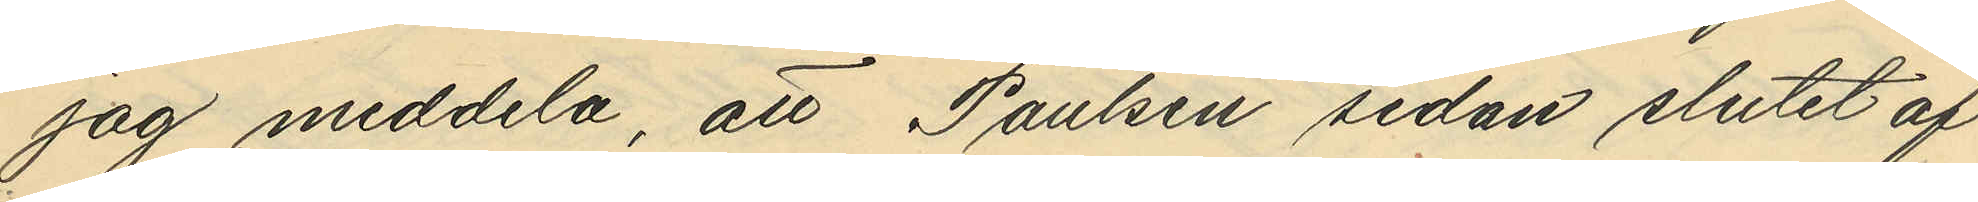jag meddela, att Paulsen sedan slutet af
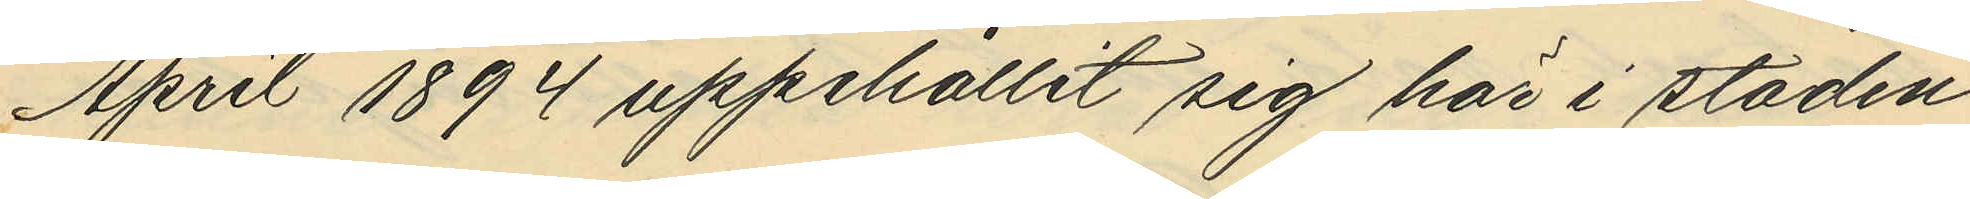April 1894 uppehållit sig här i staden
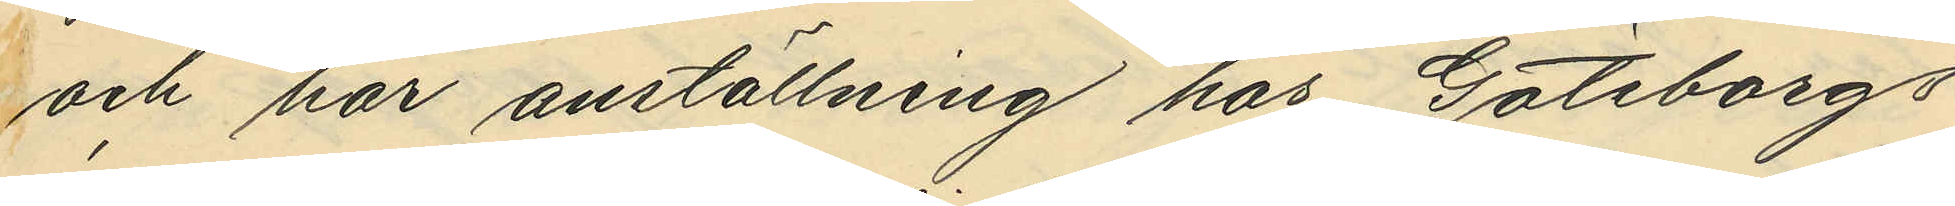och har anställning hos Göteborgs
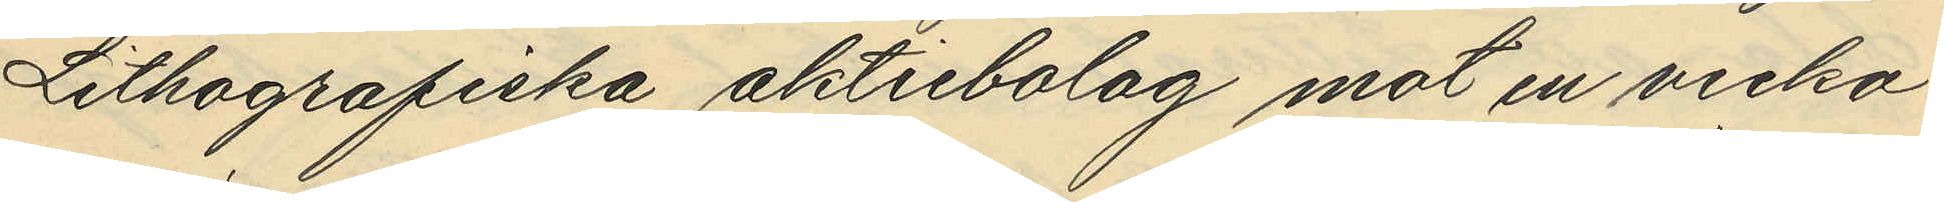Lithografiska aktiebolag mot en vecko¬
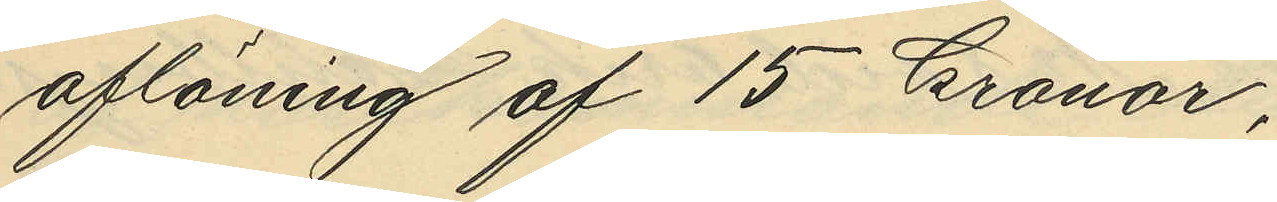aflöning af 15 kronor,
